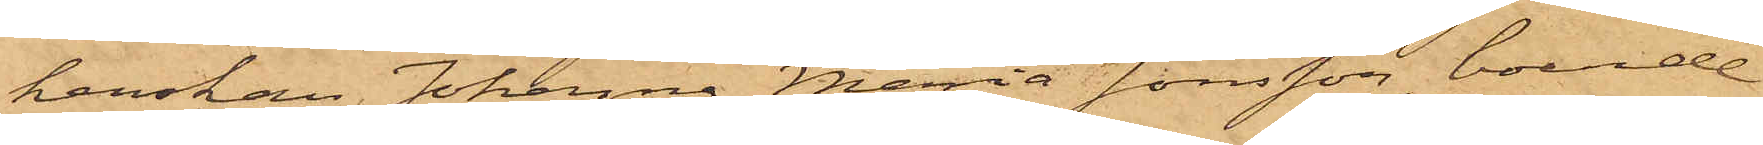kerskan Johanna Maria Jönsson, boende
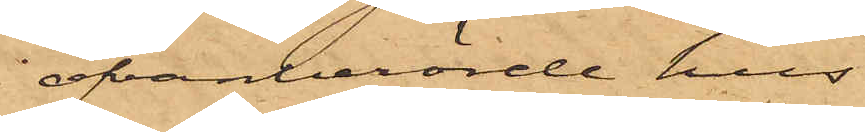i ofvanberörde hus.
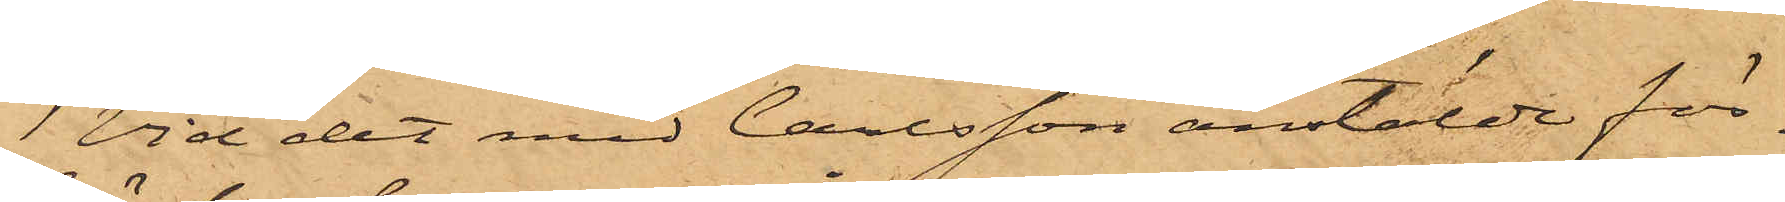Vid det med Carlsson anstälde för¬
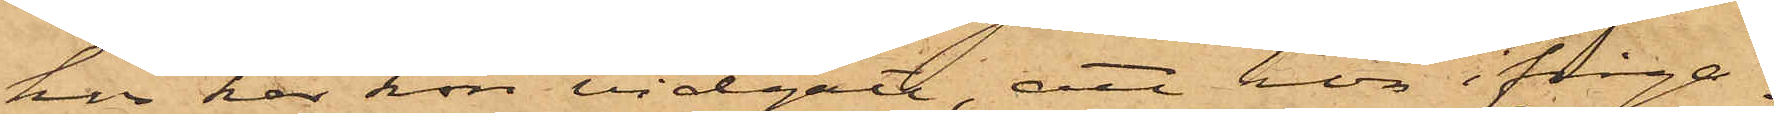hör har hon vidgått, att hon ifråga¬
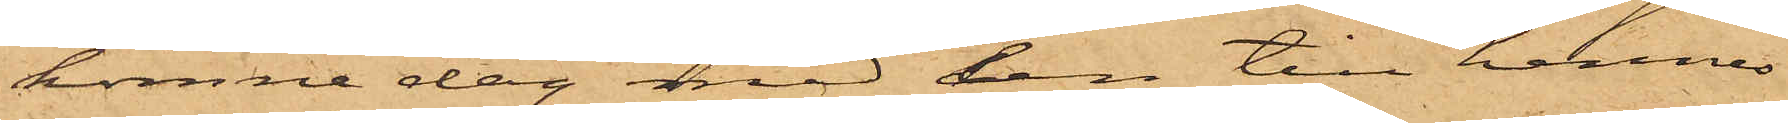komne dag med den till hennes
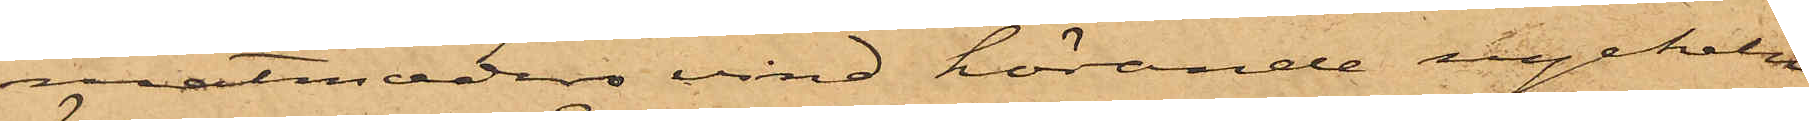matmoders vind hörande nyckeln
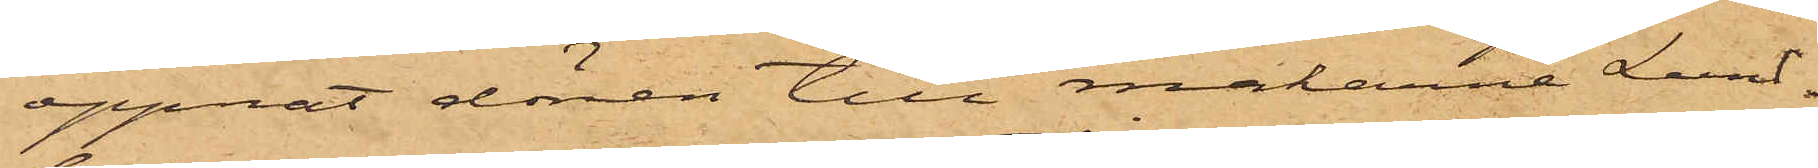öppnat dörren till makarne Lund¬
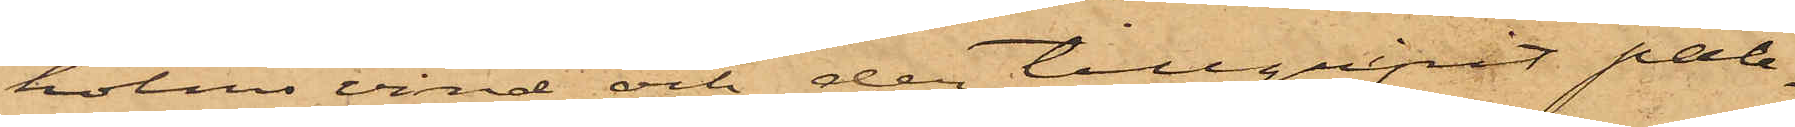holms vind och der tillgripit pale¬
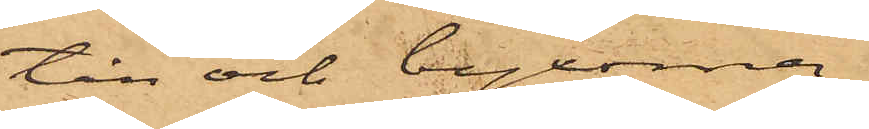tån och byxorna,
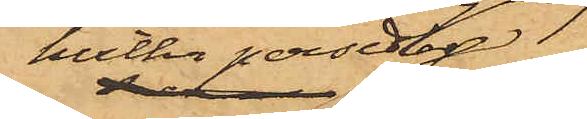hvilka persedlar
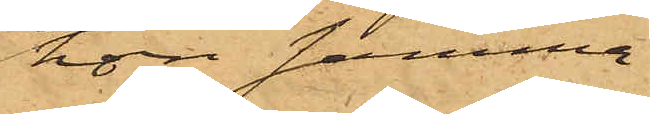hon samma
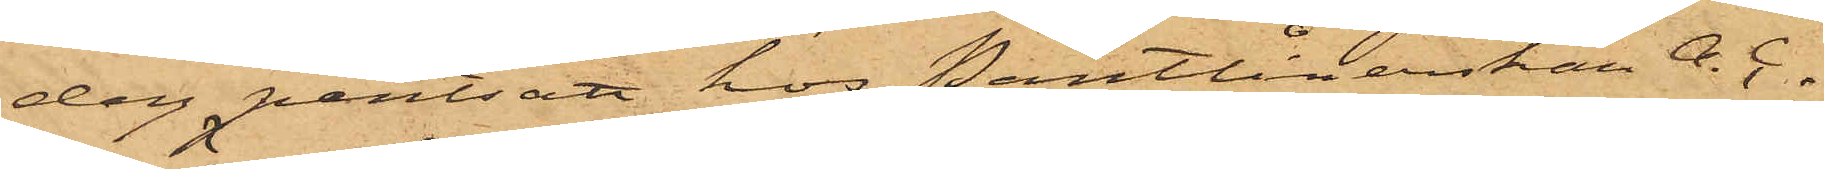dag pantsatt hos Pantlånerskan A. C.
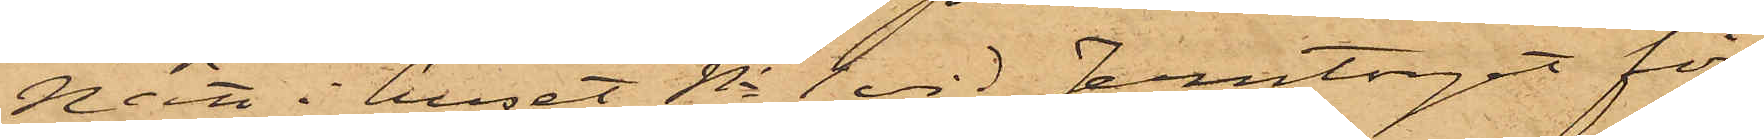Nätt i huset No 1 vid Jerntorget för
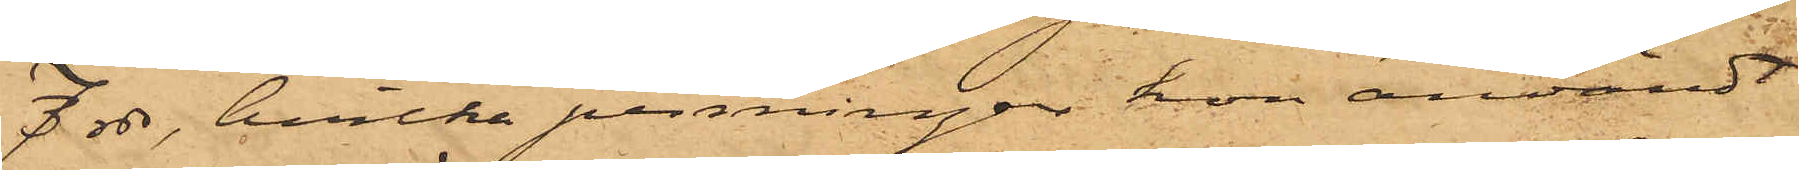7 rdr, hvilka penningar hon användt
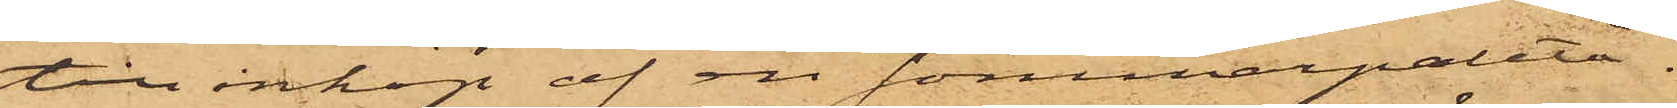till inköp af en sommarpaletå.
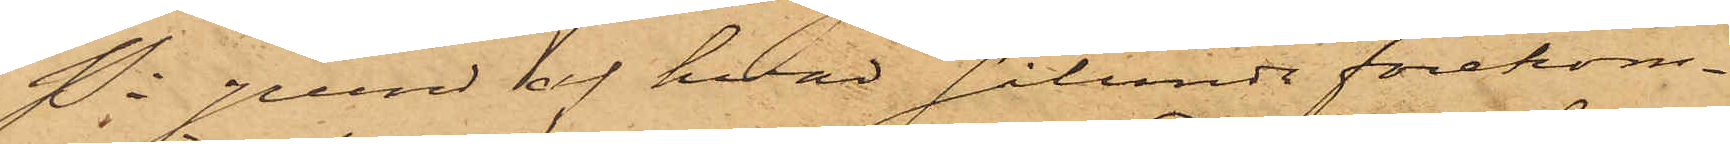På grund af hvad sålunda förekom¬
